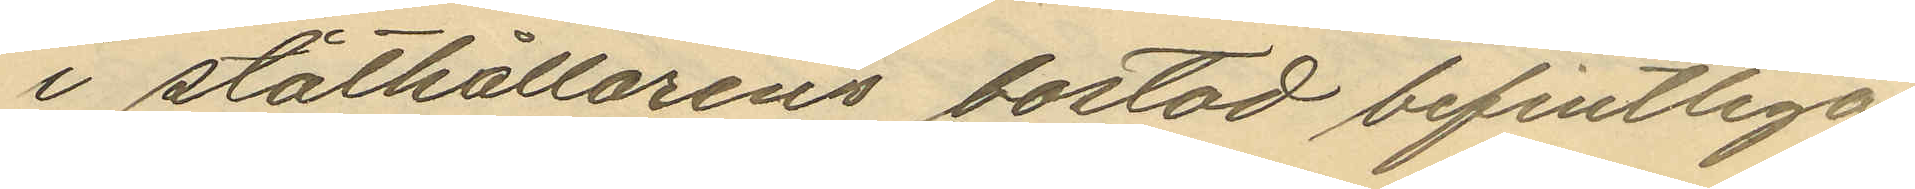i ståtkällarens bostad befintliga
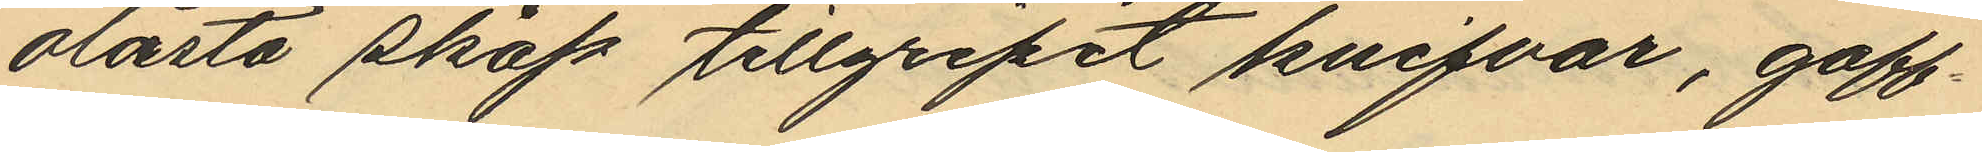olåsta skåp tillgripit knifvar, gaff¬
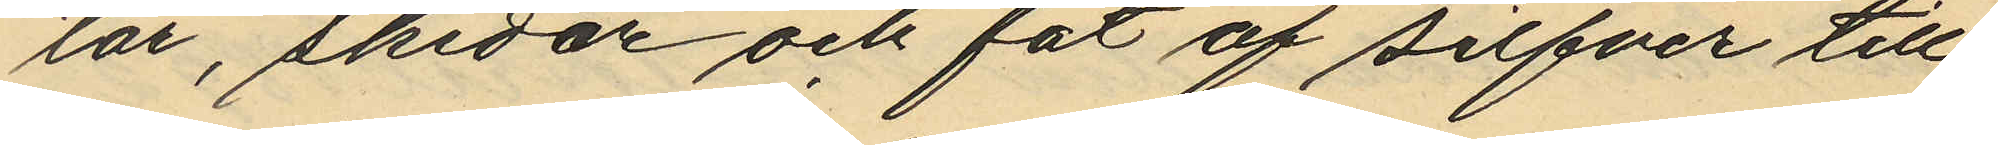lar, skedar och fat af silfver till
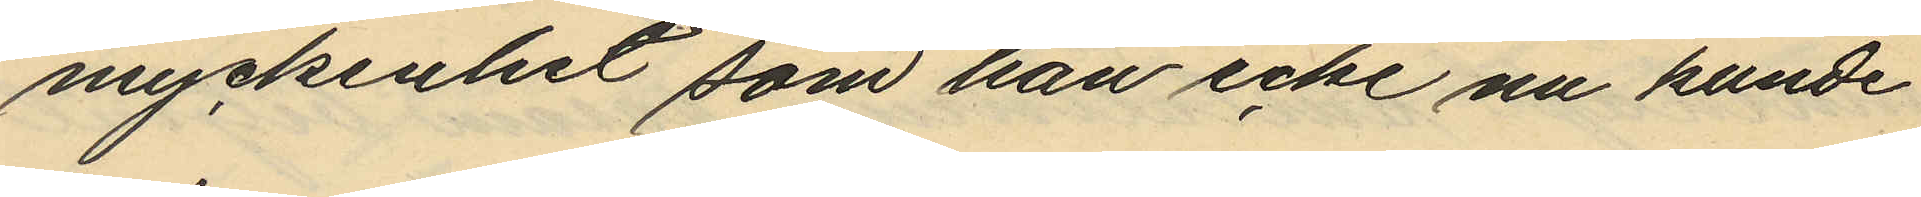myckenhet som han icke nå kunde
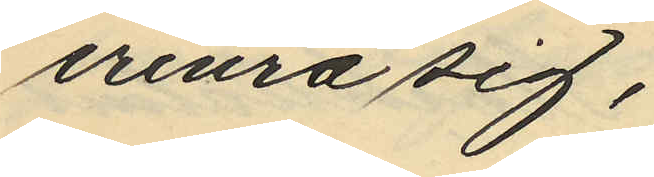erinra sig,
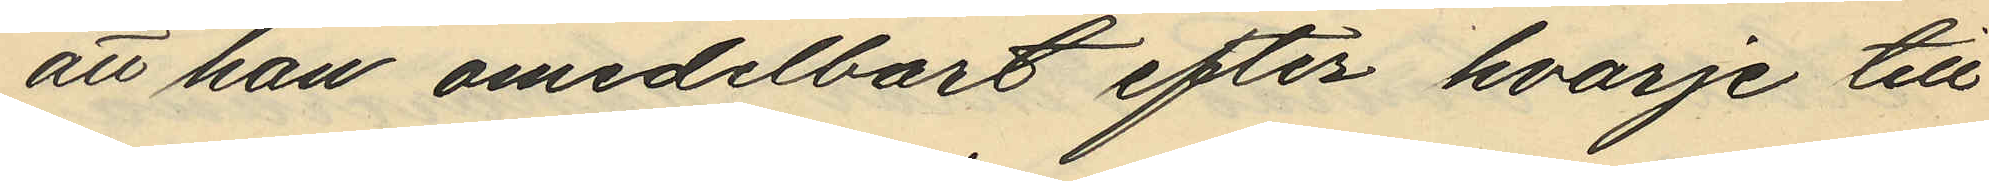att han omedelbart efter hvarje till
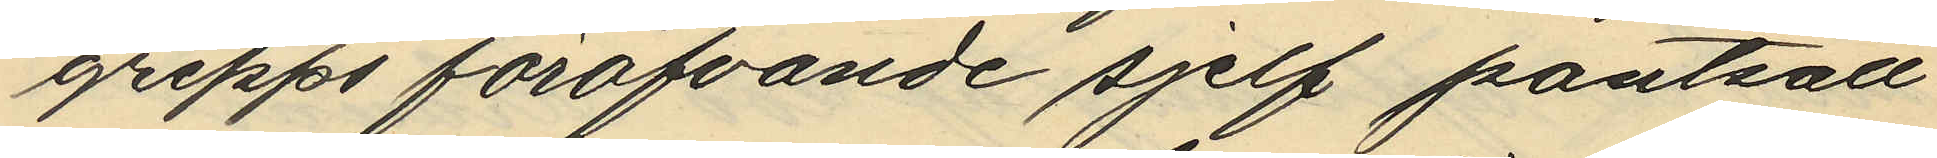grepps föröfvande sjelf pantsatt
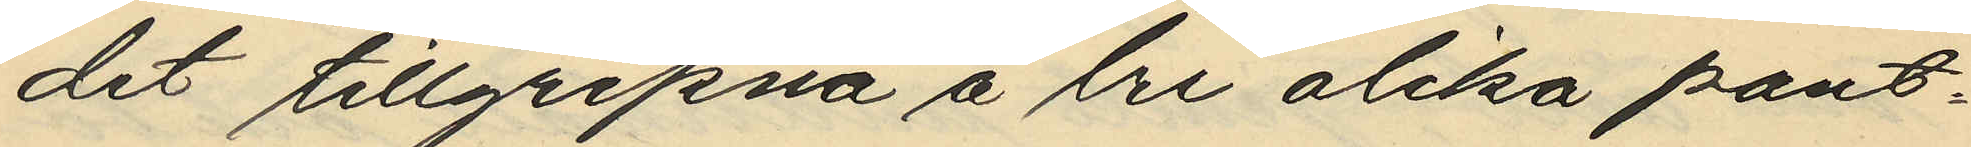det tillgripna å tre olika pant¬
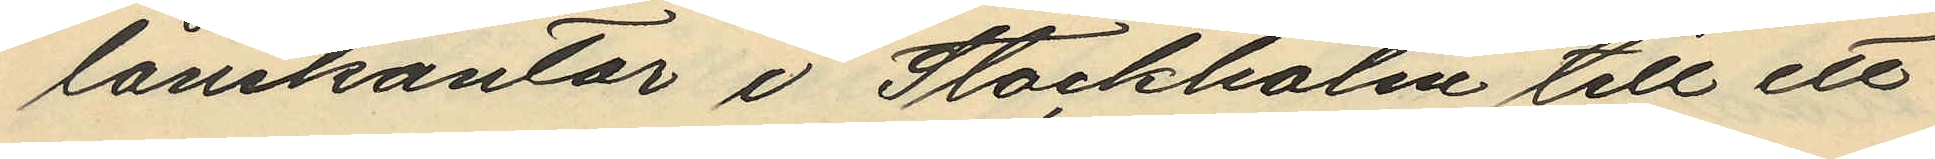lånekontor i Stockholm till ett
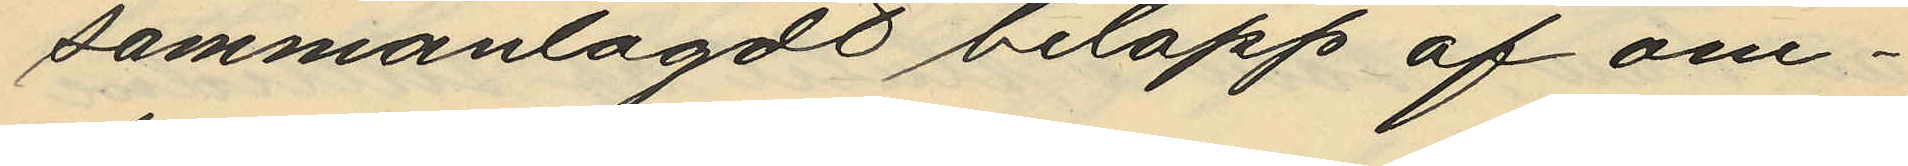sammanlagdt belopp af om¬
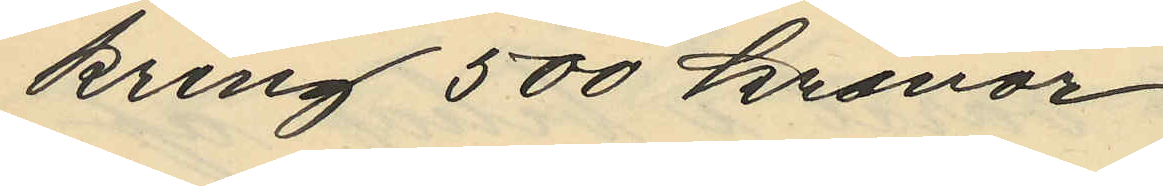kring 500 kronor
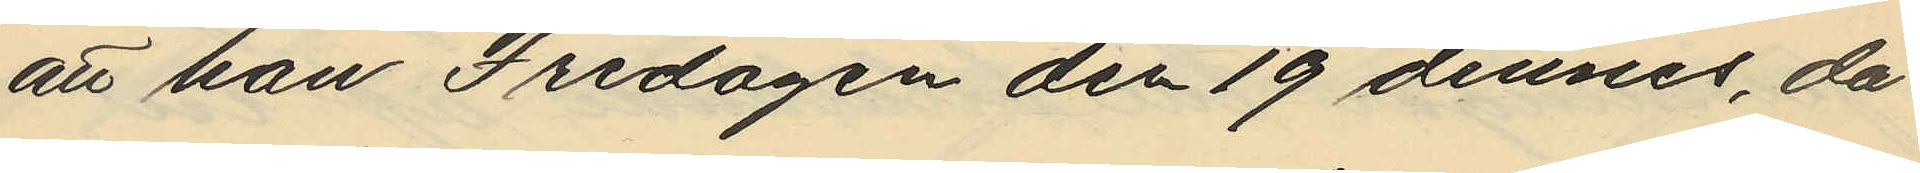att han Fredagen den 19 dennes, då
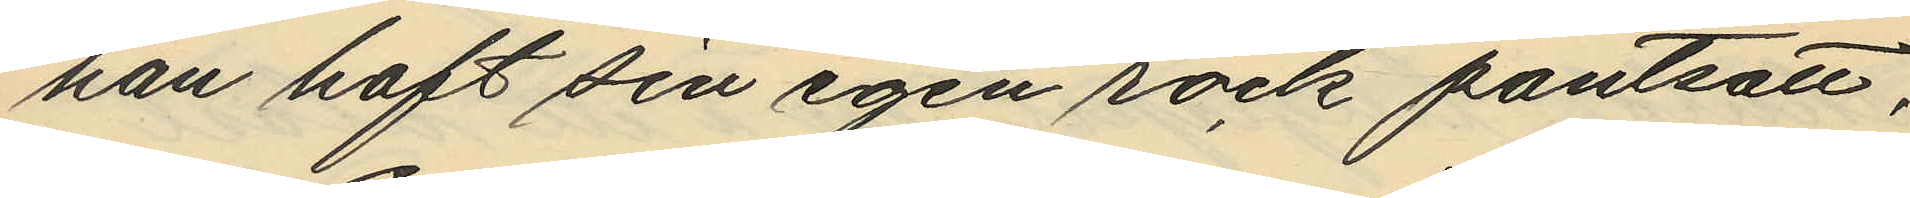han haft sin egen rock pantsatt,
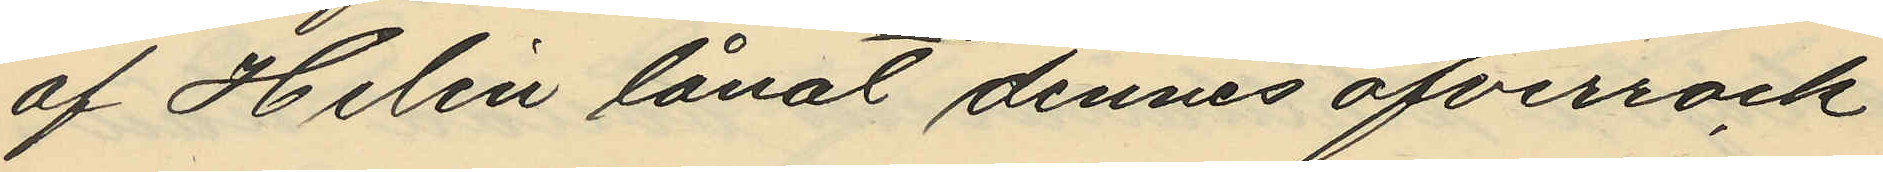af Helin lånat dennes öfverrock
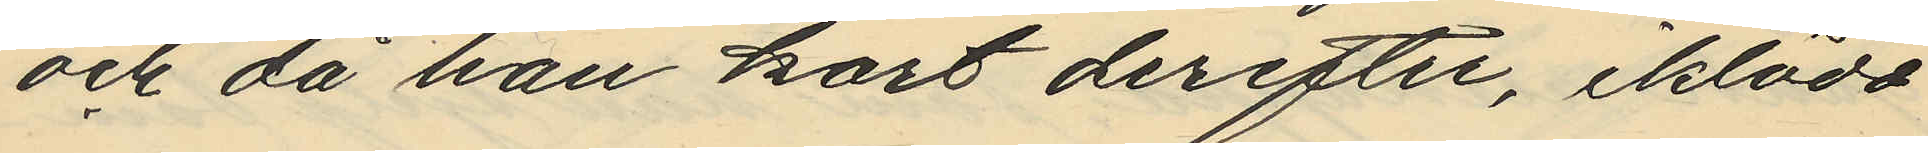och då han kort derefter, iklädd
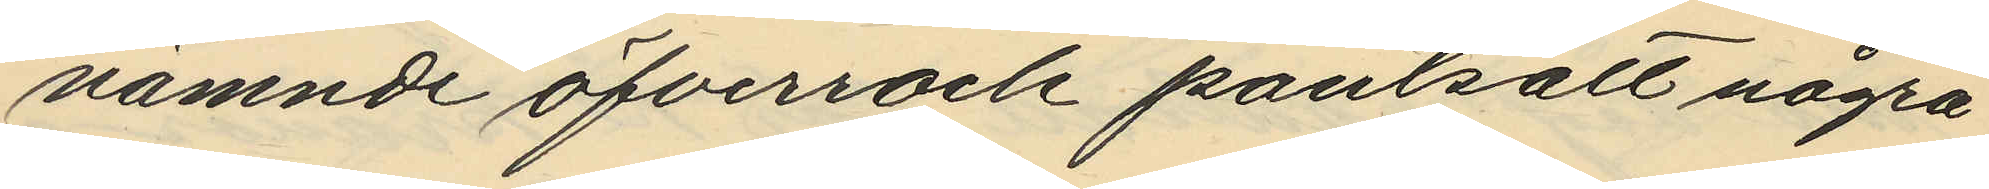nämnde öfverrock pantsatt några
